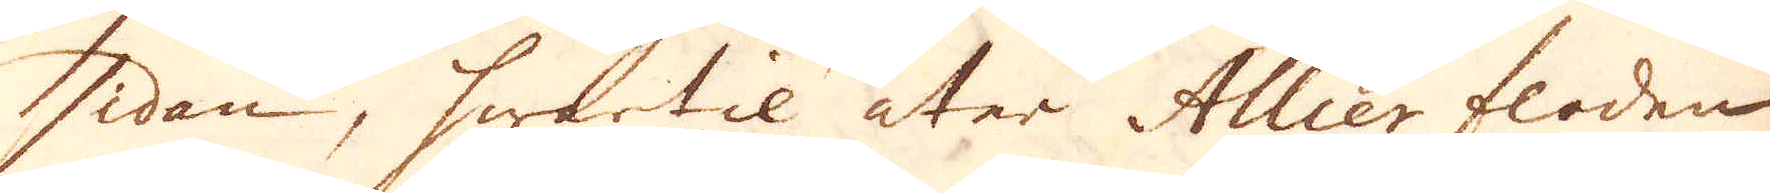sidan, hwartil åter Allier floden
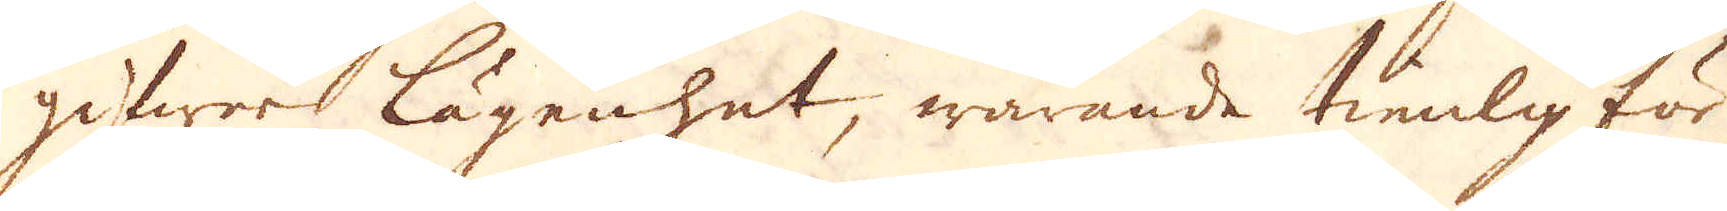gifwer lägenhet, warande tienlig för
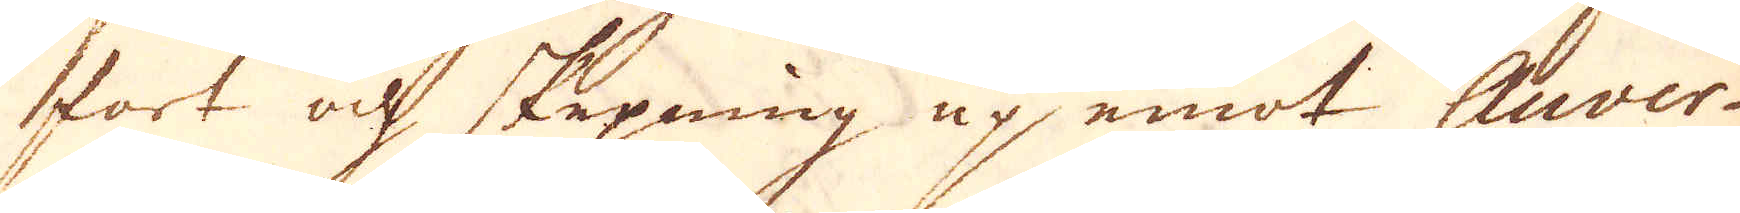fart och skepning up emot Auver-
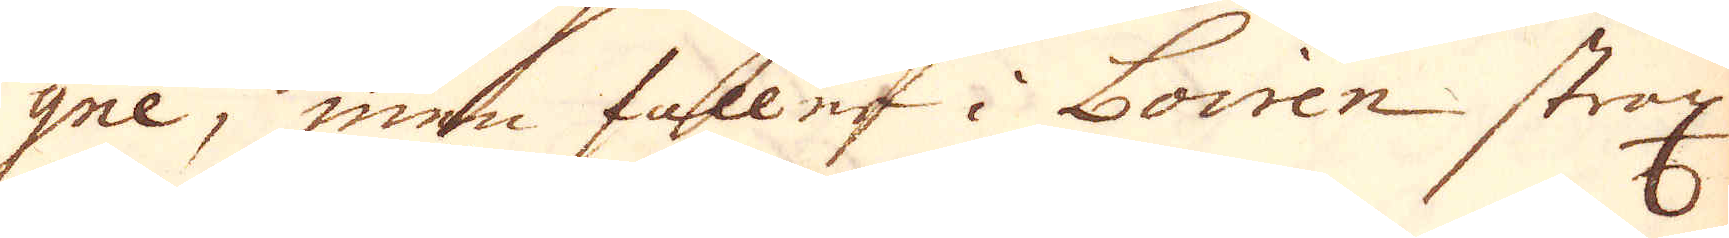gne, men fallna i Lovien strax
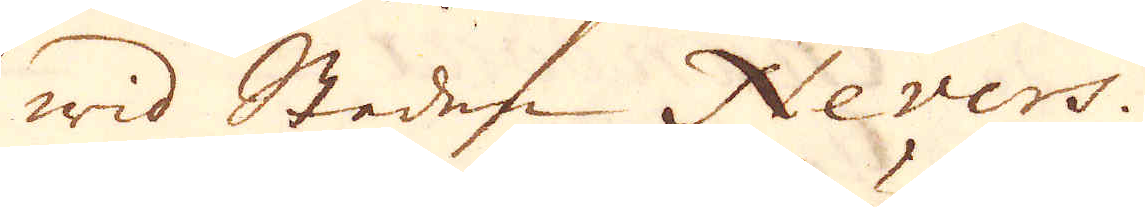wid Staden Nevers.
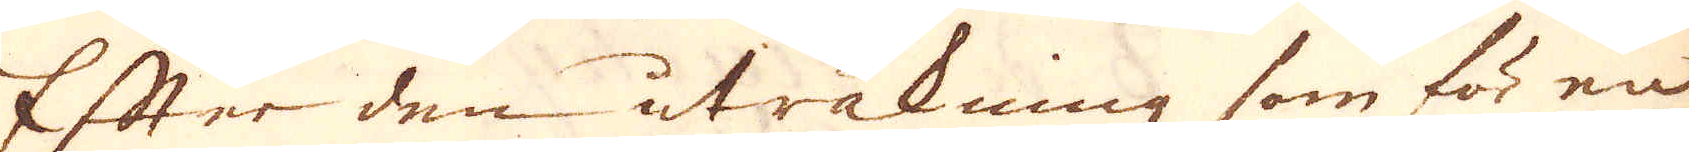Efter den uträkning som för en
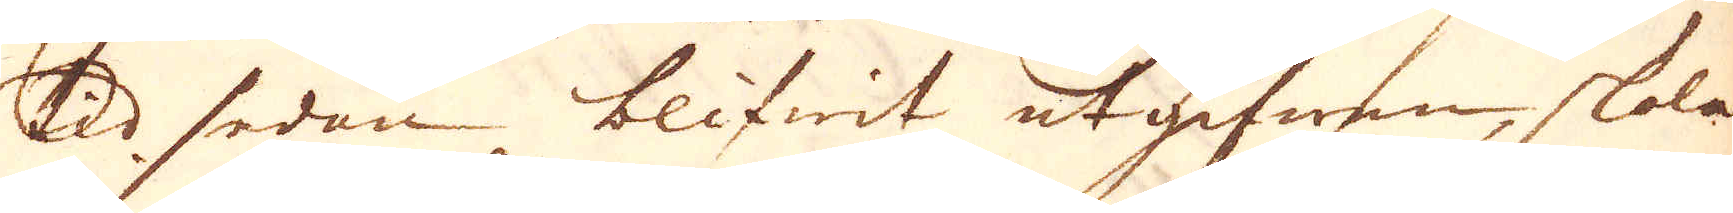tld sedan blifwit utgifwen, skola
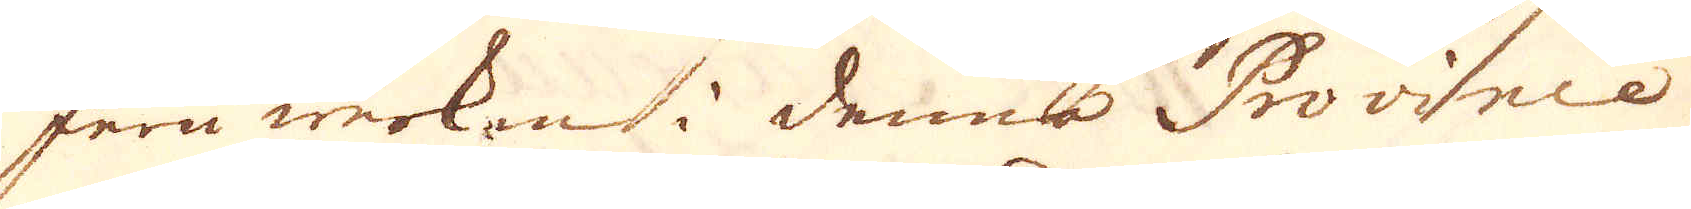Jern werken i denna Province
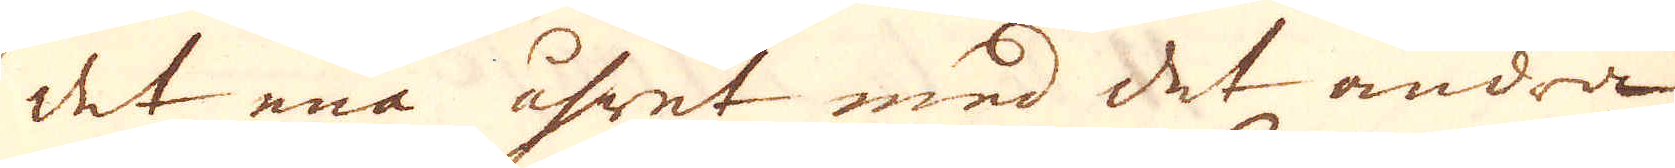det ena året med det andra
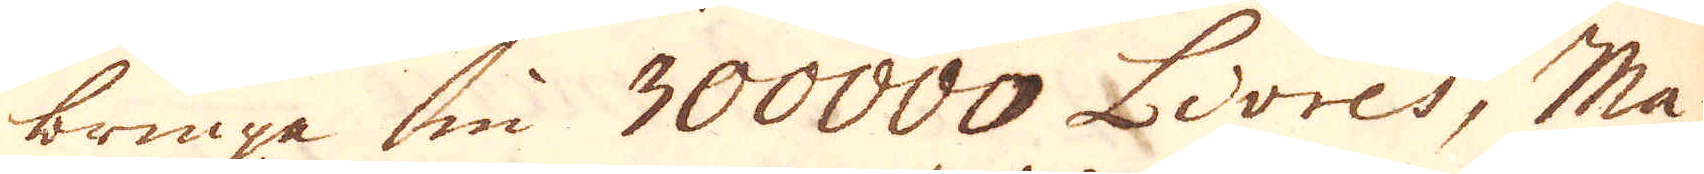bringa in 300000 Livres; Ma-
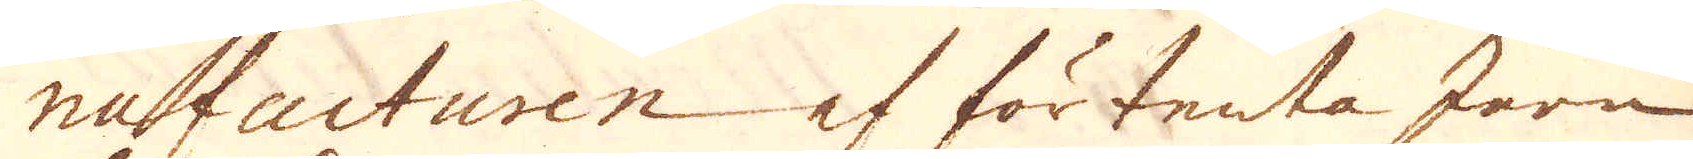nufacturen af förtenta Jern
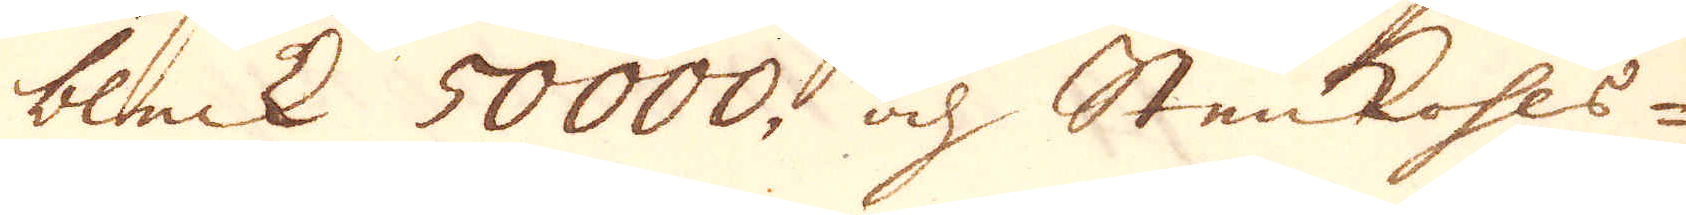bleck 50000, och Stenkohls-
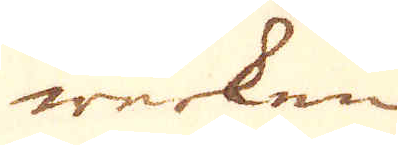werken
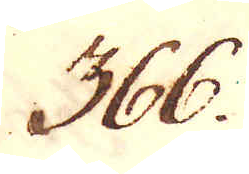366.
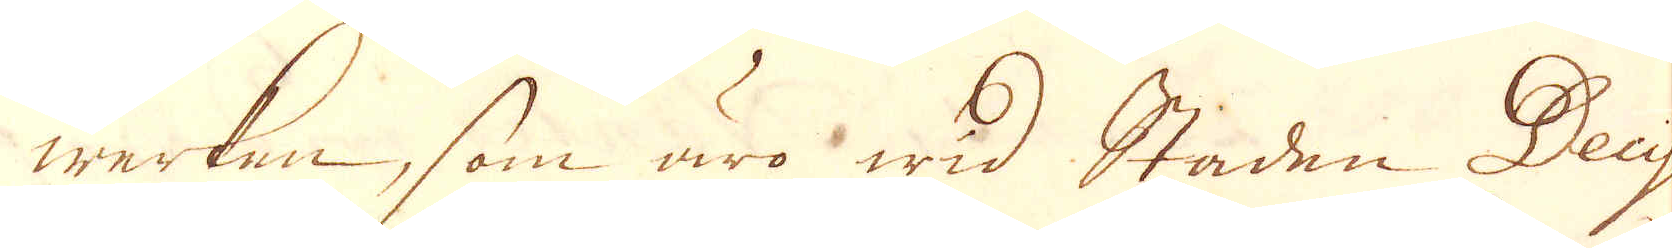werken, som äro wid Staden Decy
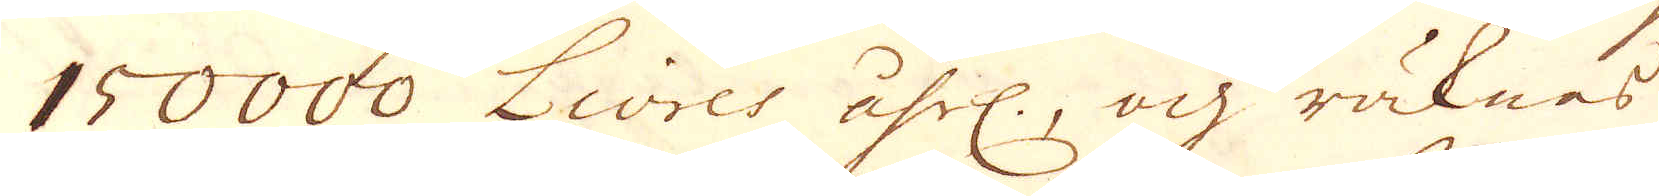150000 Livres åhrl:, och räknas
